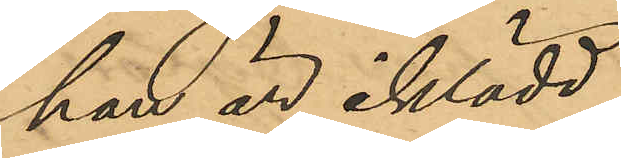han är iklädd,
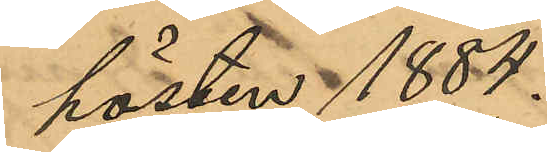hösten 1884.
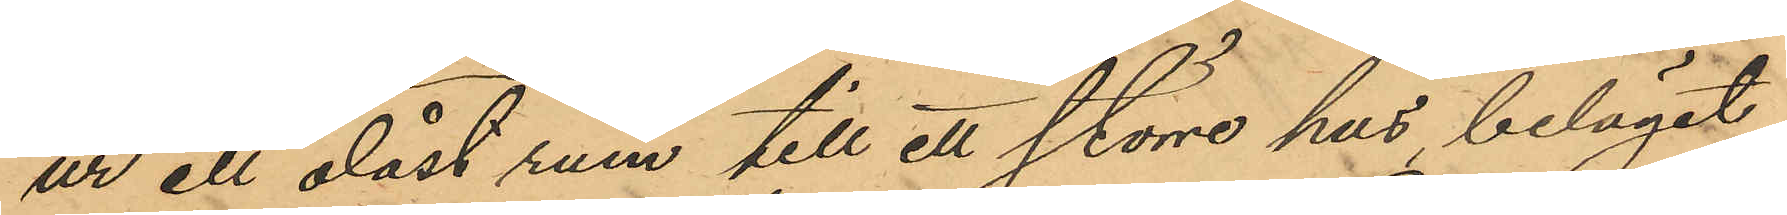ur ett olåst rum till ett större hus beläget
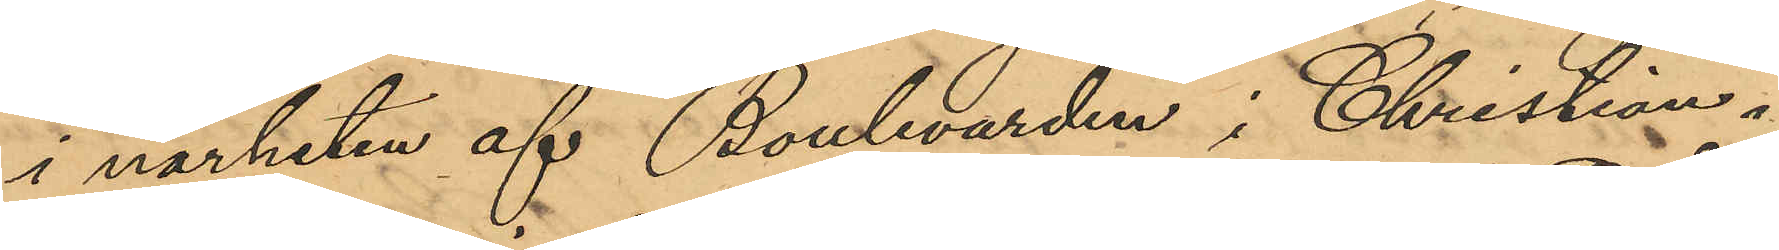i närheten af Boulevarden i Christian¬
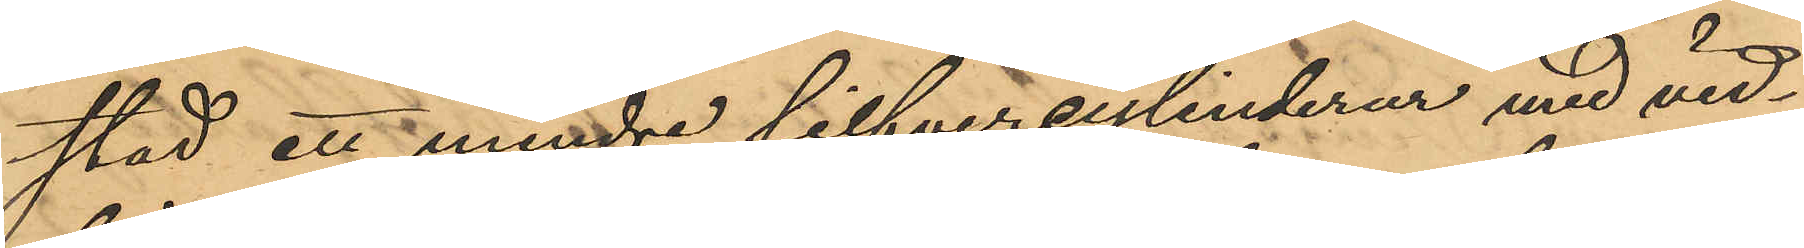stad ett mindre silfvercylinderur med vid¬
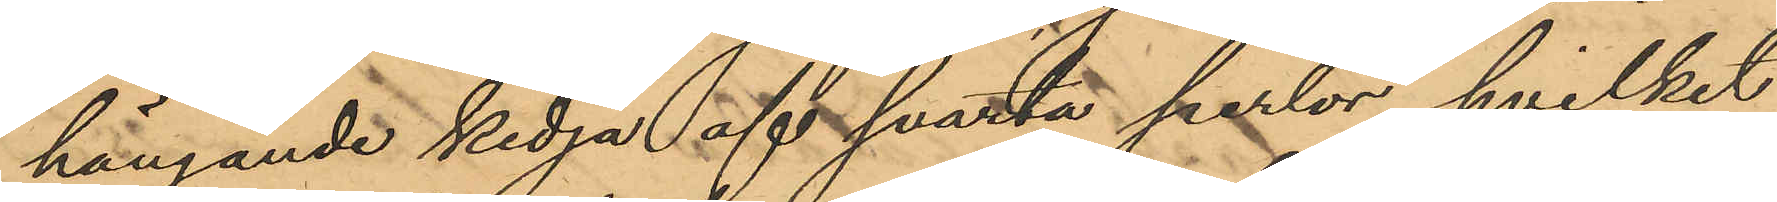hängande kedja af svarta perlor, hvilket
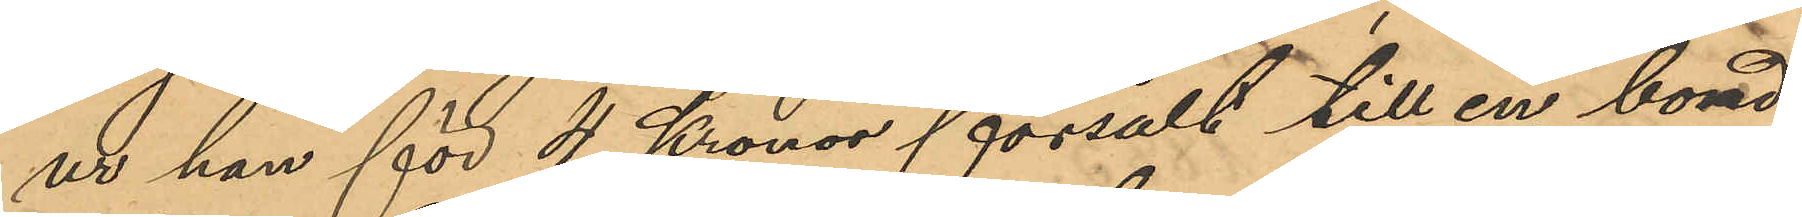ur han för 4 Kronor försålt till en bond¬
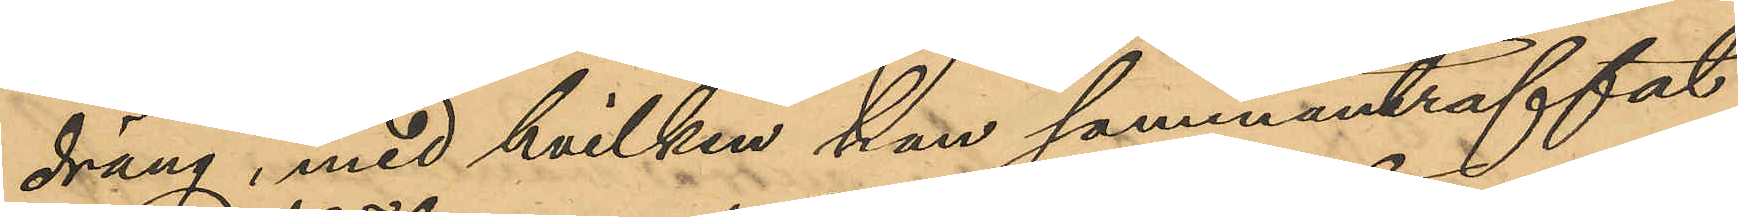dräng, med hvilken han sammanträffat
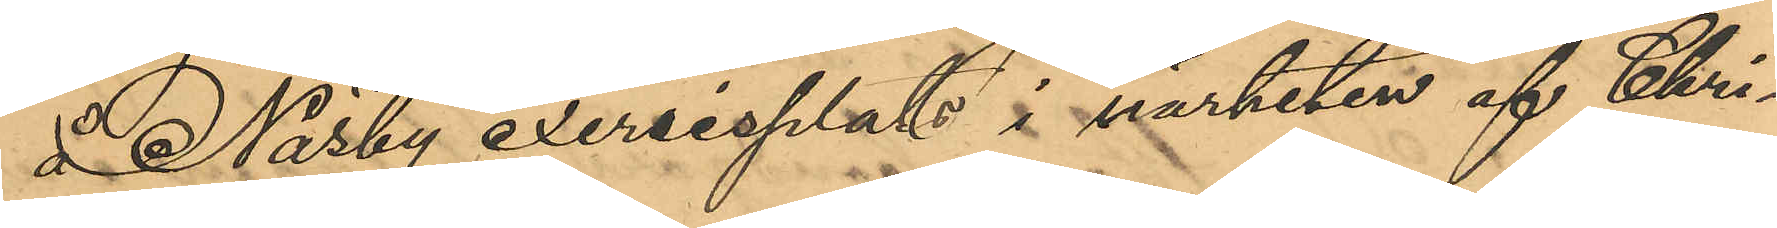å Näsby exersisplats i närheten af Chri¬
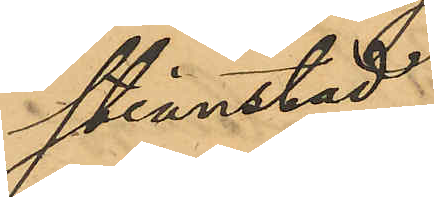stianstad;
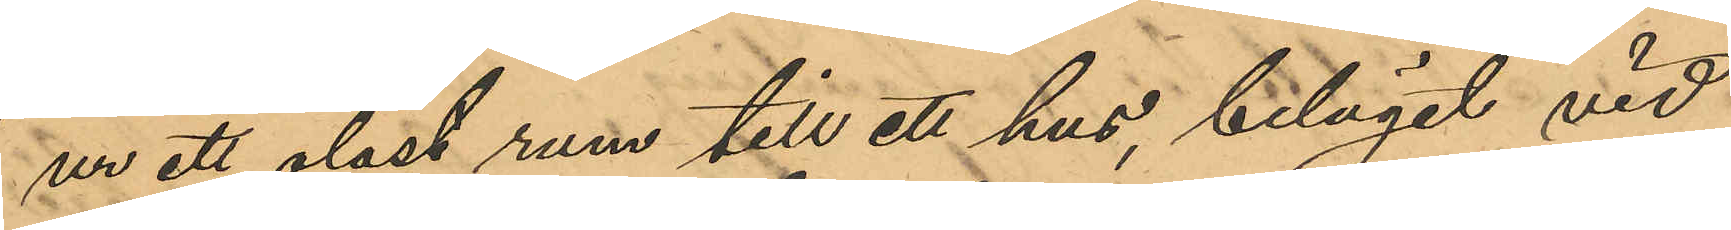ur ett olåst rum till ett hus, beläget vid
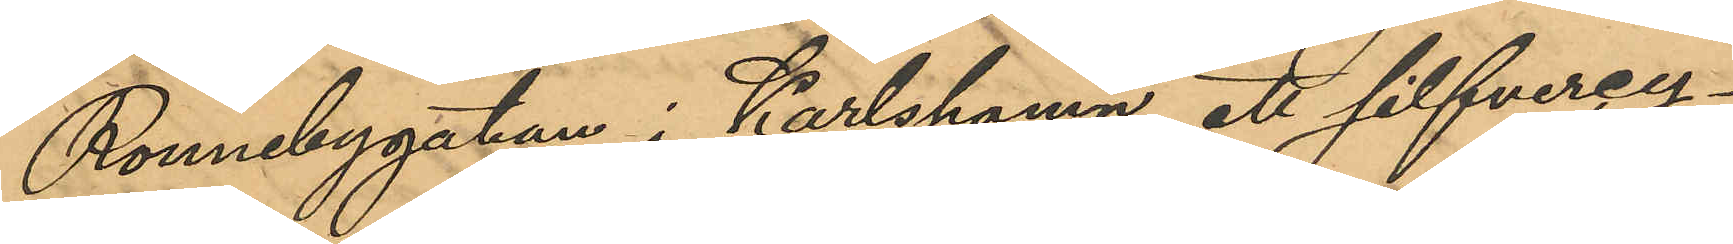Ronnebygatan i Karlshamn, ett silfvercy¬
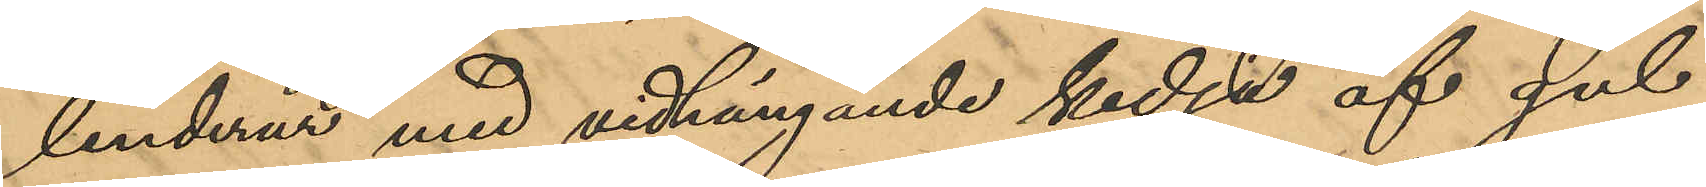linderur med vidhängande kedja af gul¬
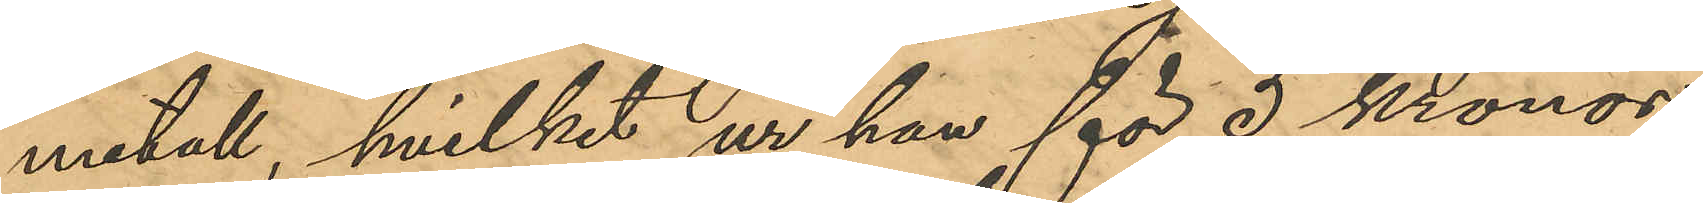metall, hvilket ur han för 5 kronor
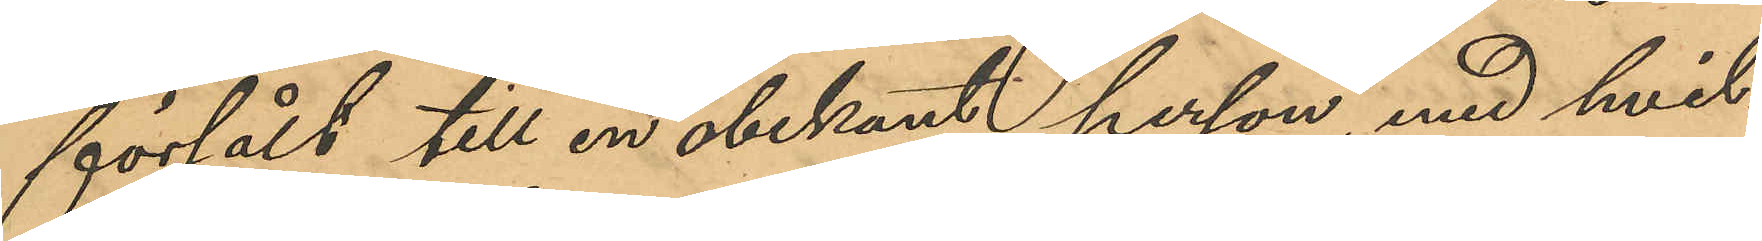försålt till en obekant person, med hvil¬
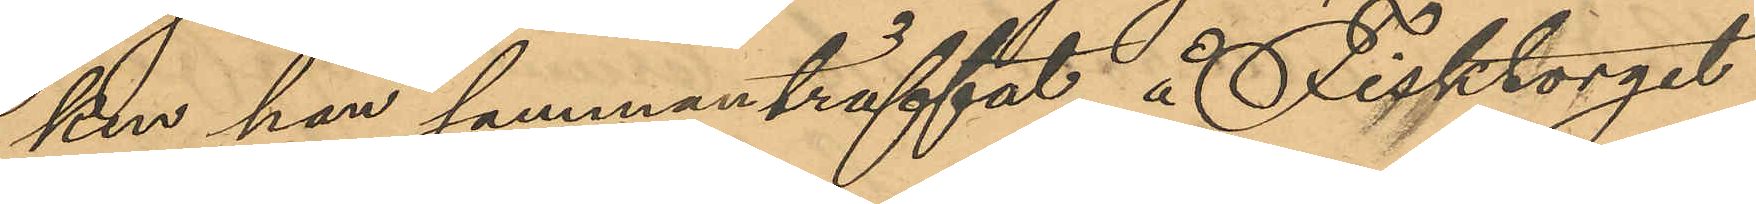ken han sammanträffat å Fisktorget
